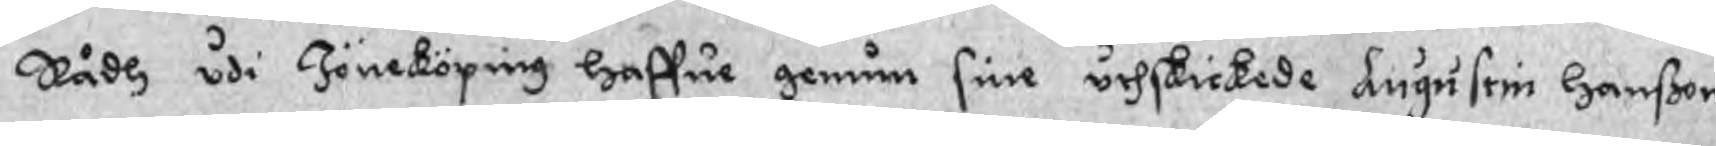Rådh udi Jöneköping haffue genum sine uthskickede Augustin Hanßon
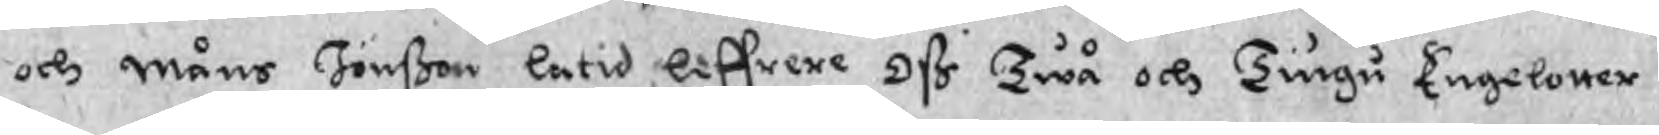och Måns Jönßon latid liffrere oß Twå och Tiugu Engelotter
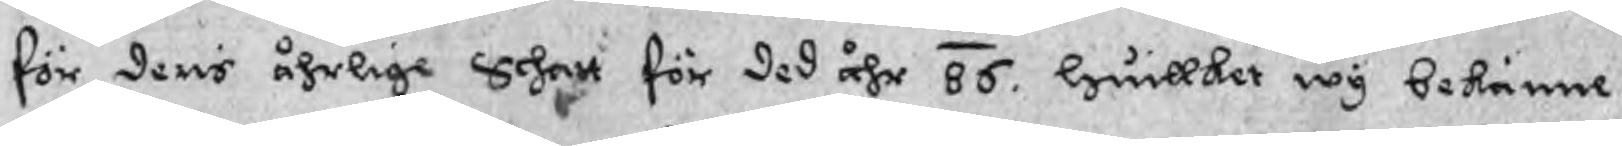för deris åhrlige Schatt för ded åhr 86. huillket wy bekänne
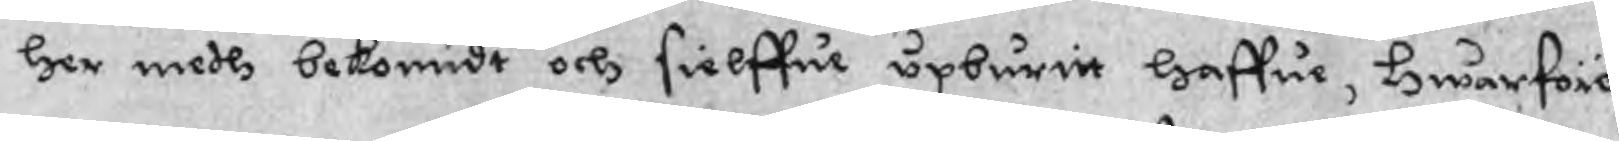her medh bekomidt och sielffue upburitt haffue, Hwarföre
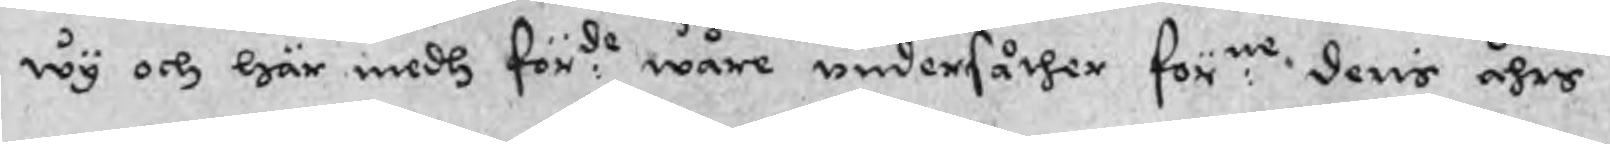wy och här medh för.de wåre undersåther för:ne deris åhrs
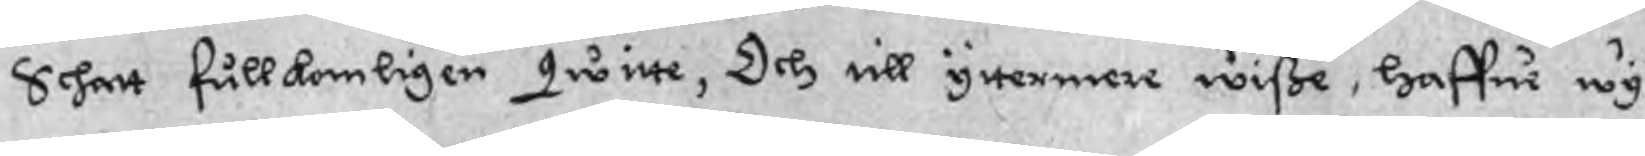Schatt fullkomligen qwitte, Och till yttermere wiße, haffue wy
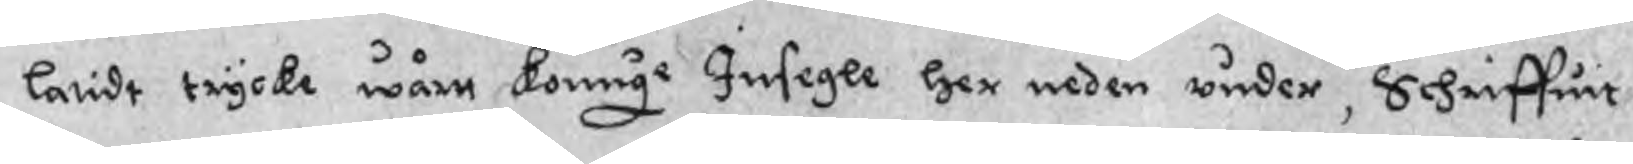latidt trycke wårtt konuge Insegle her neden under, Schriffuit
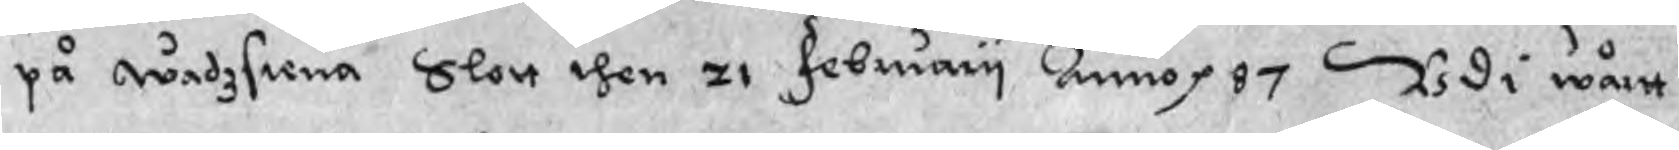på wadzstena Slott then 21 February Anno p 87 Udi wårtt
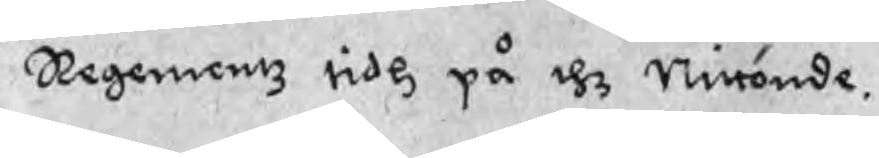Regementz tidh på thz Nittonde.
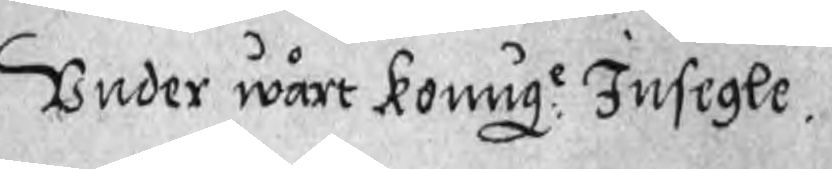Under wårt Konug:e Insegle.
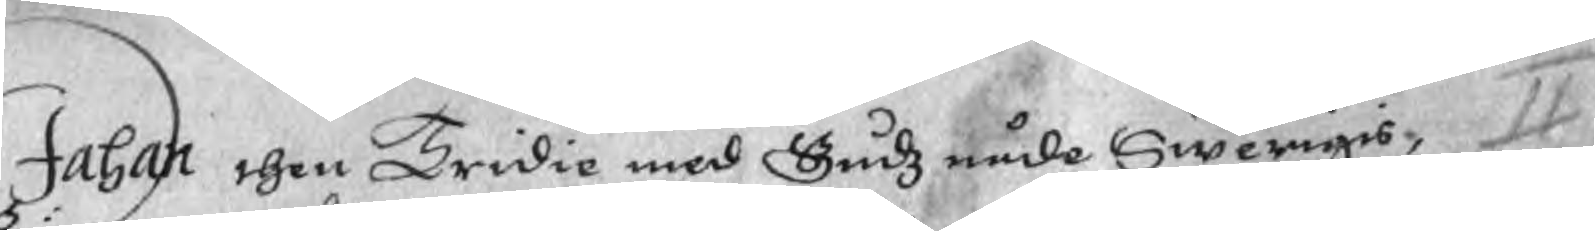Johan then Tridie med Gudz nåde Swerigis,
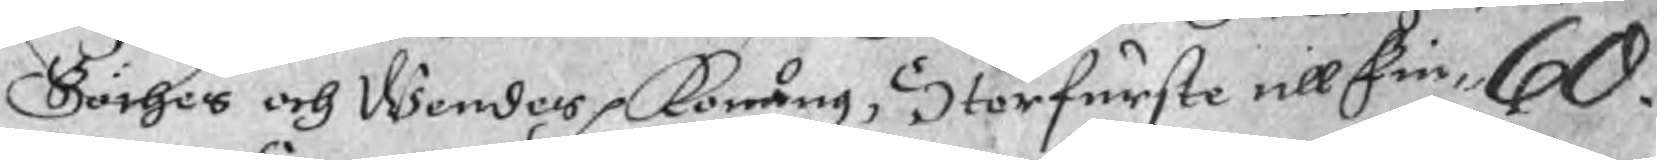Göthes och Wendes Konung, Storfurste till Fin¬ 60.
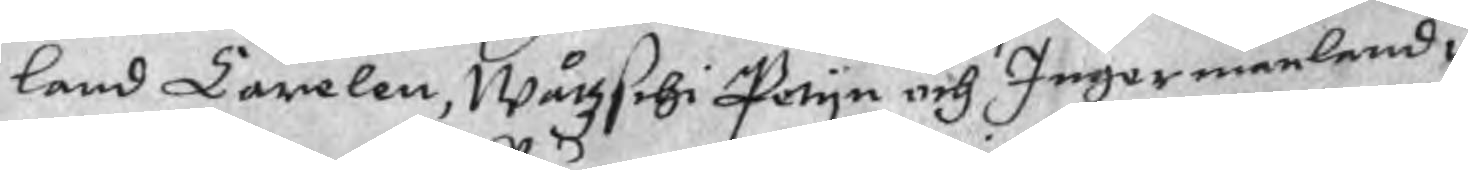land Carelen, Wårzschi Petyn och Ingermanland i
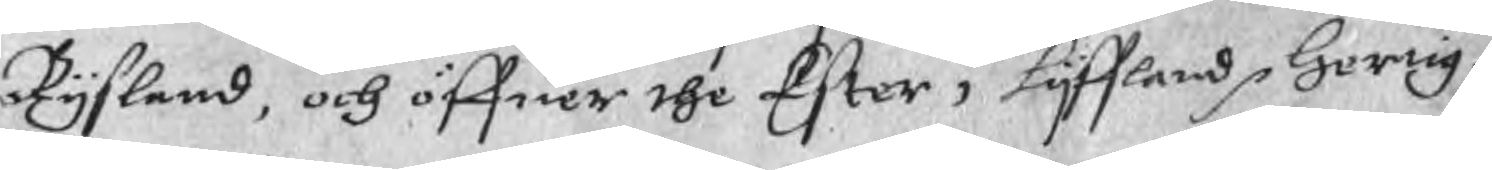Rysland, och öffuer the Ester i Lyffland p hertig.
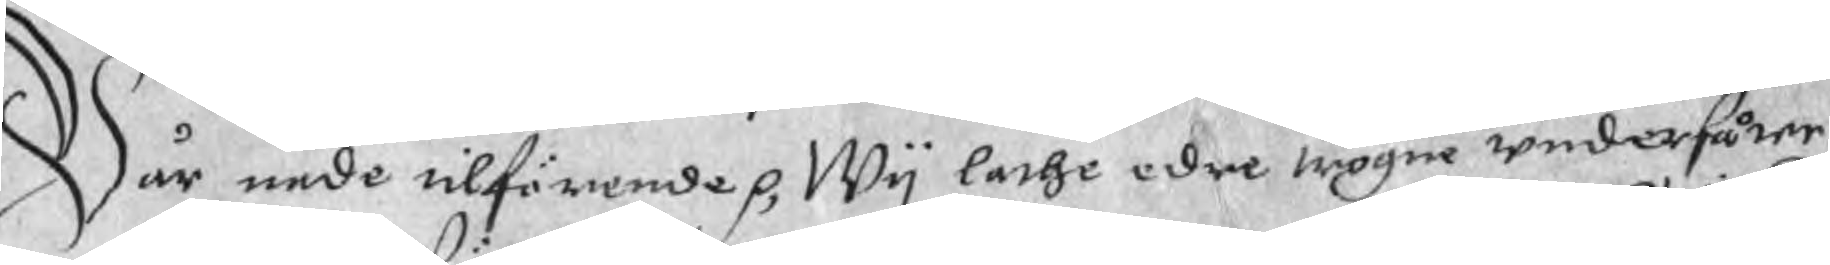Wår nåde tilförende p, Wy lathe edre trogne undersåter
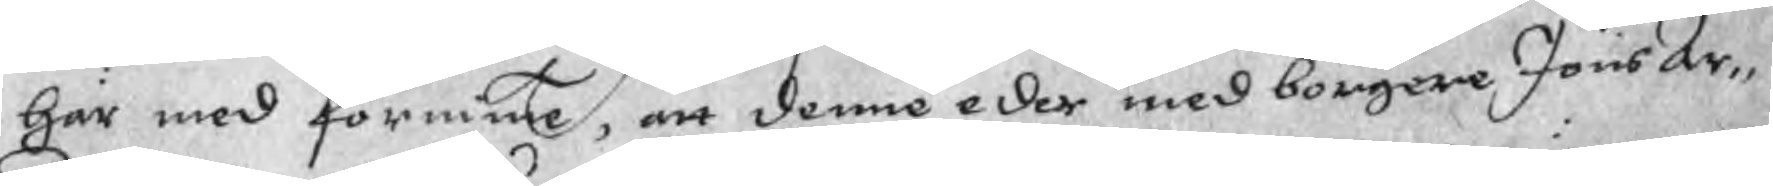här med förnime, att denne eder med borgere Jöns Ar¬
